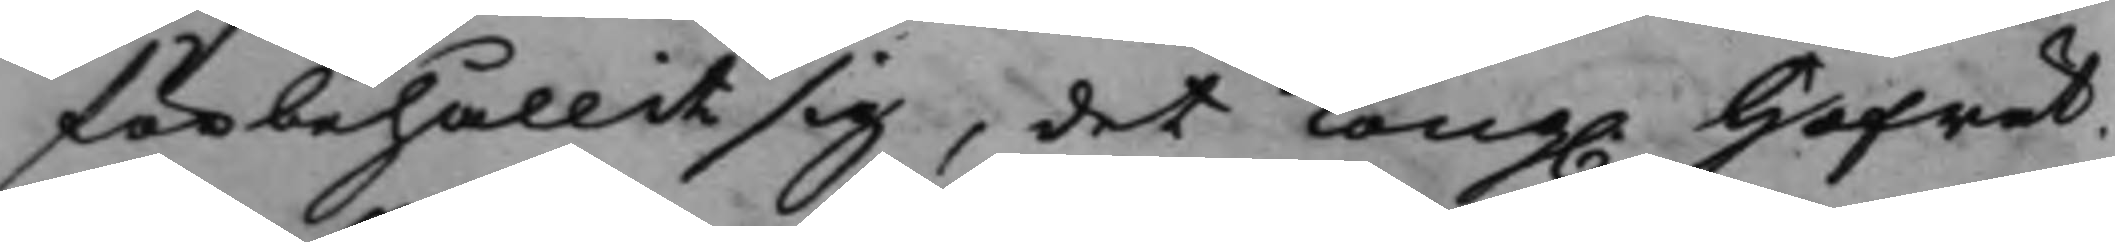förbehållit sig, det Kong. Hofrät¬
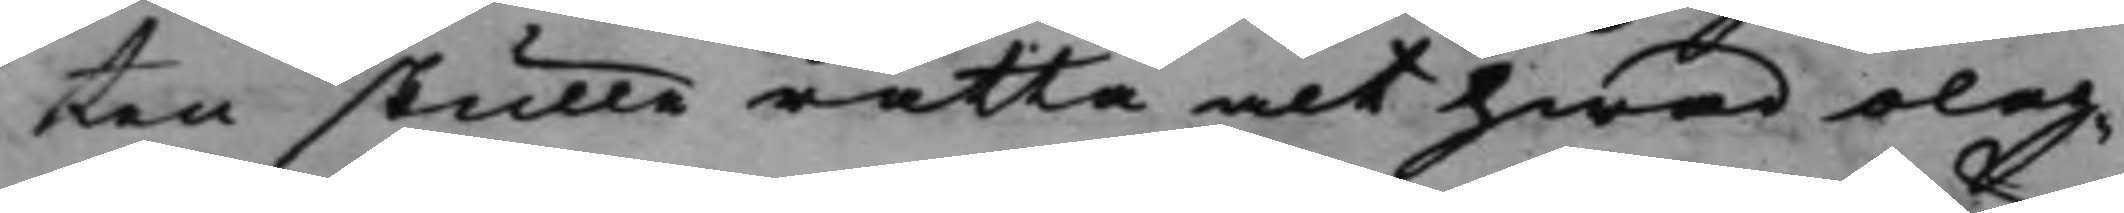ten skulle rätta alt hwad olag¬
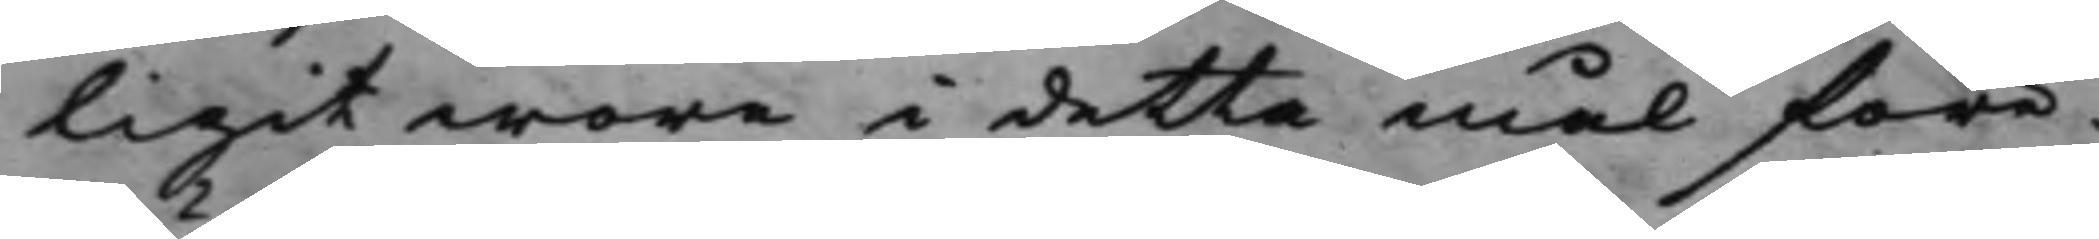ligit wore i detta mål före¬
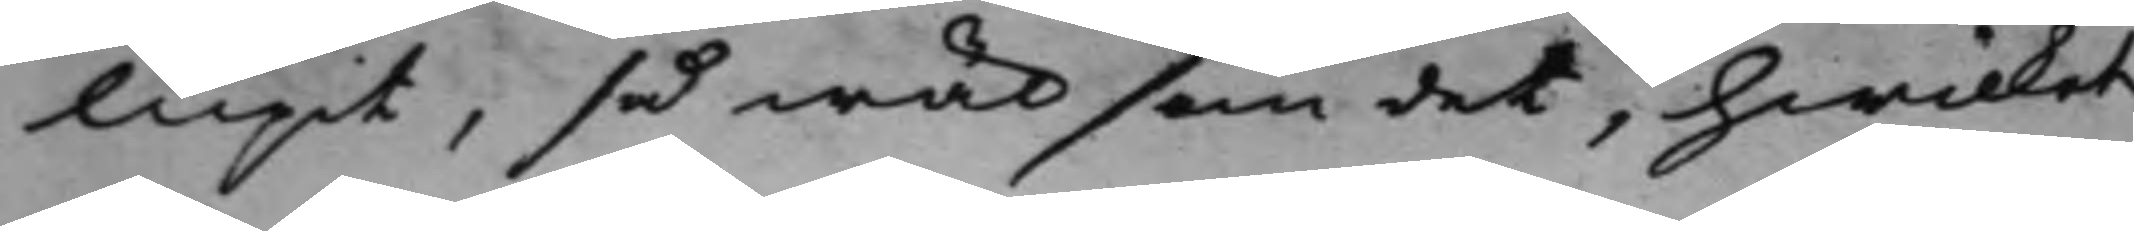lupit, så wäl som det, hwilket
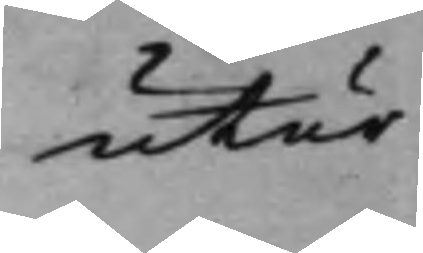utur
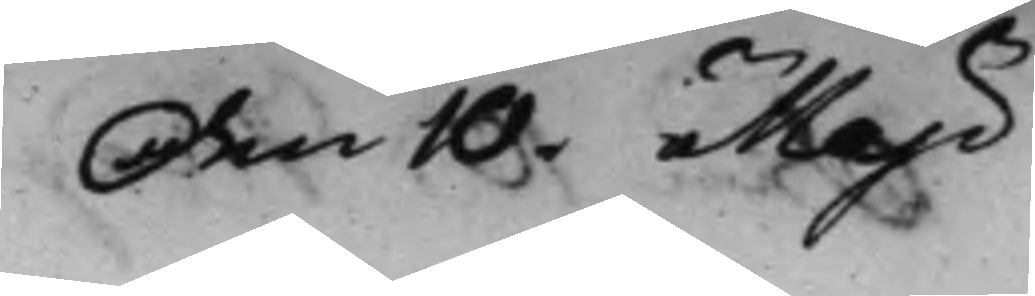den 10. Maji
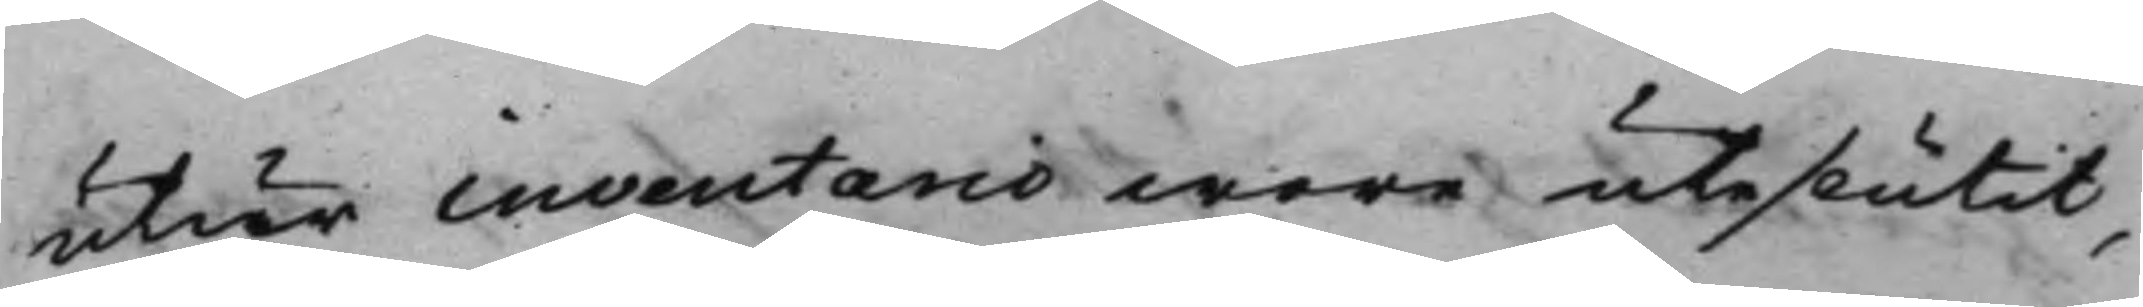utur inventario wore uteslutet,
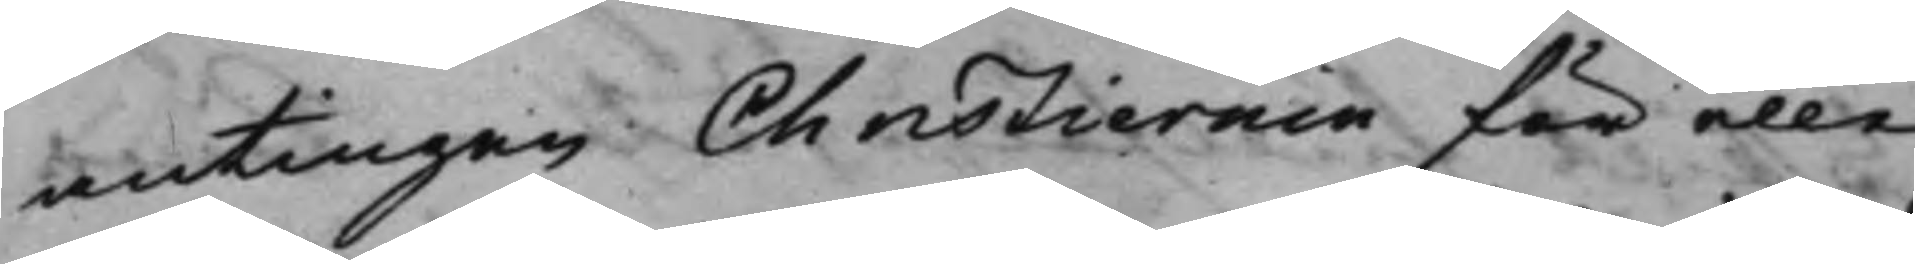antingen Christiernin för eller
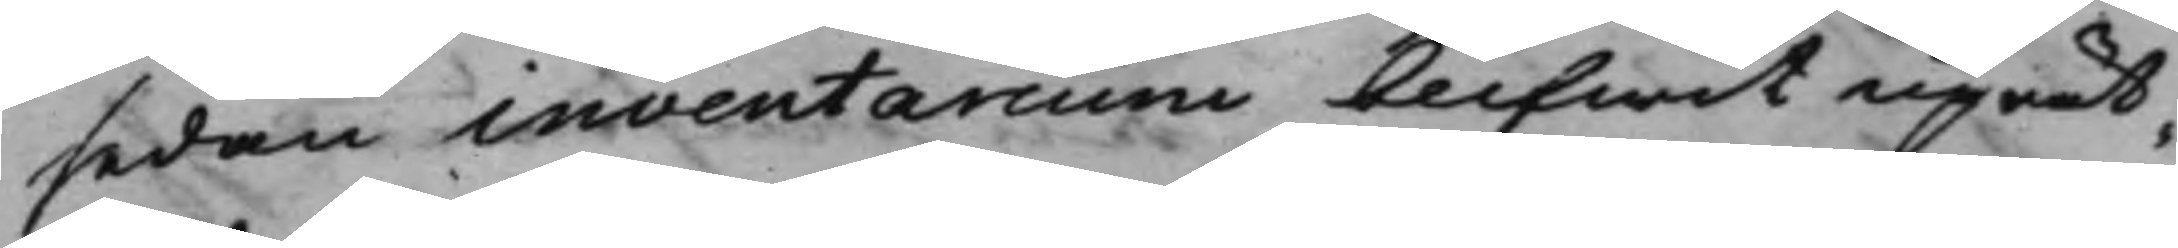sedan inventarium blifwit uprät¬
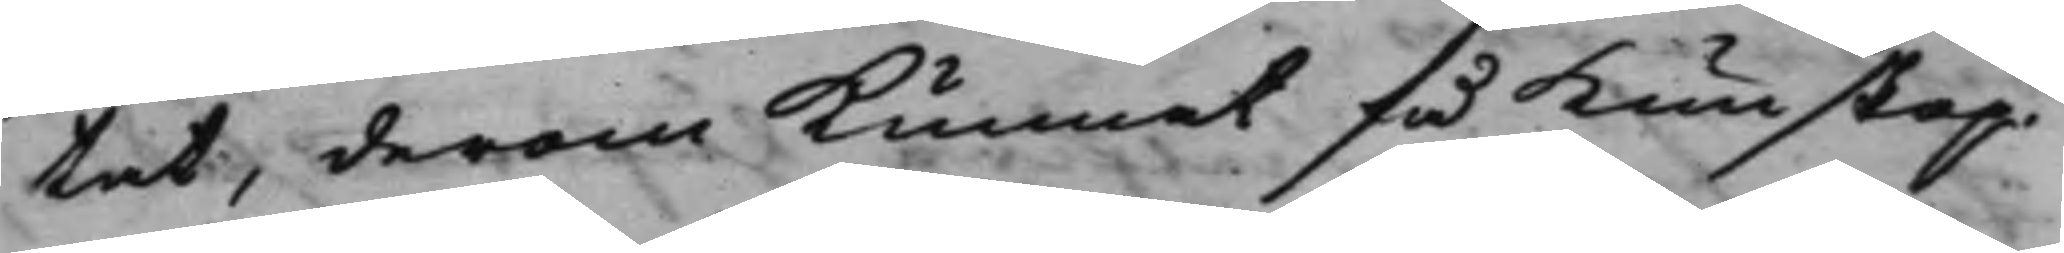tat, derom Kunnat få kunskap
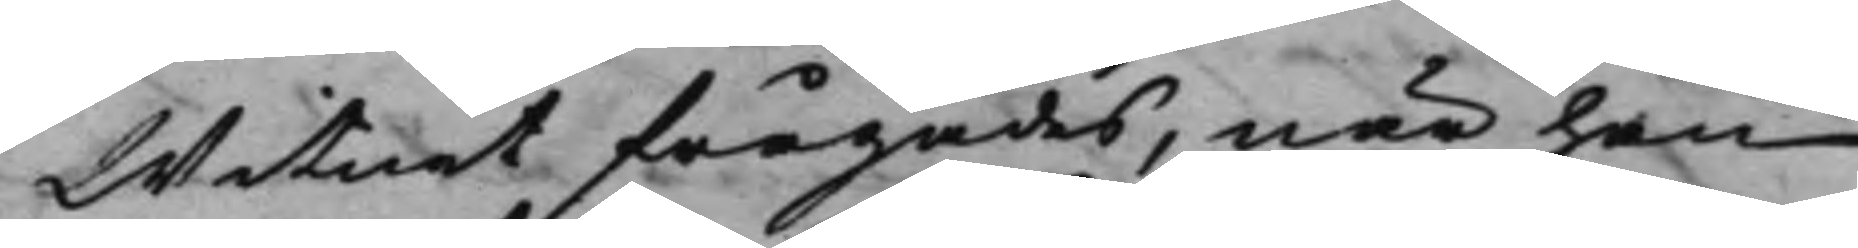Witnet frågades, när han
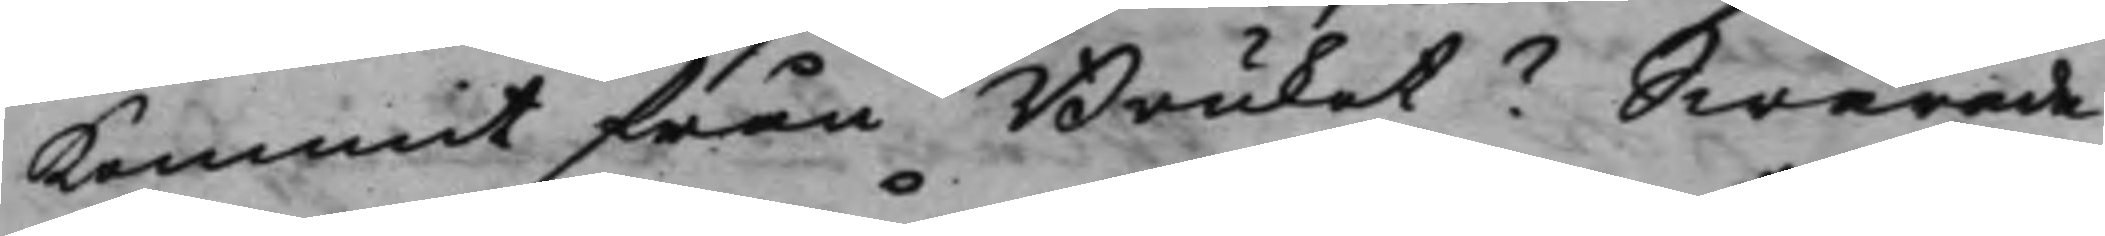kommit från Bruket? Swarade
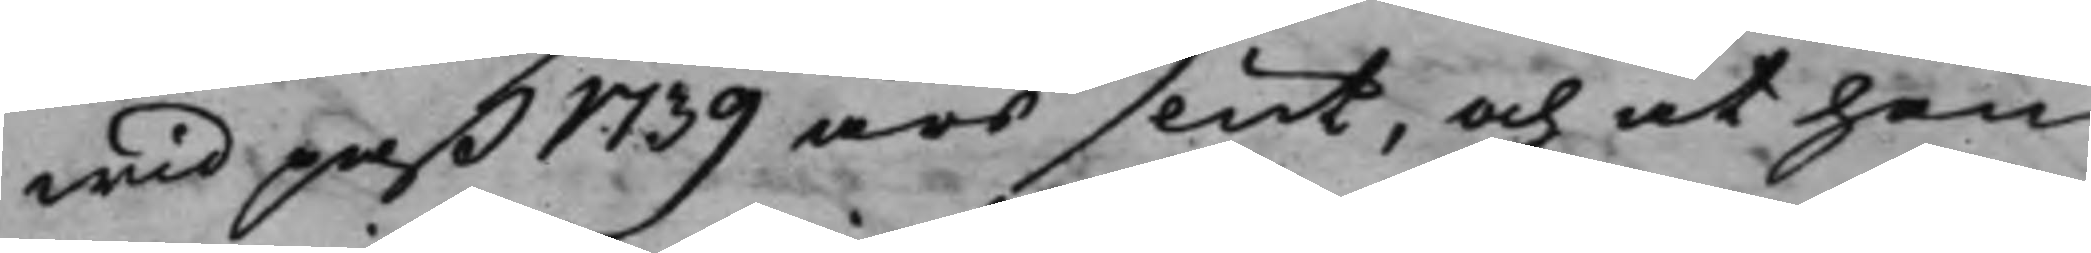wid paß 1739 års slut, och at han
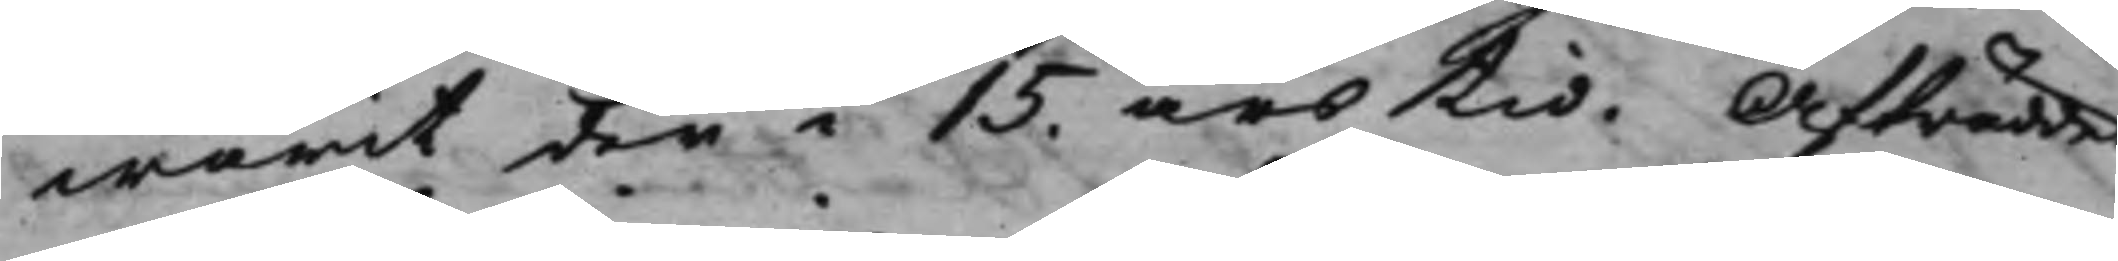warit der i 15. års tid. Afträdde.
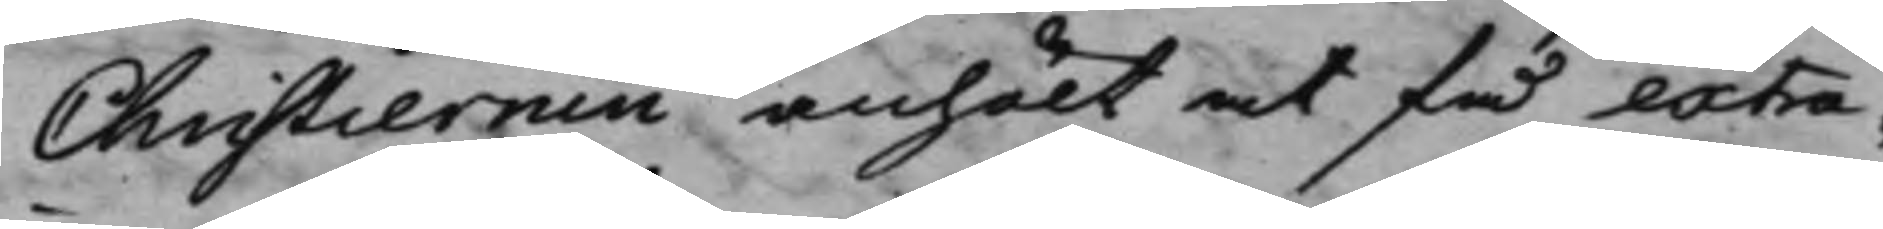Christiernin anhölt at få extra¬
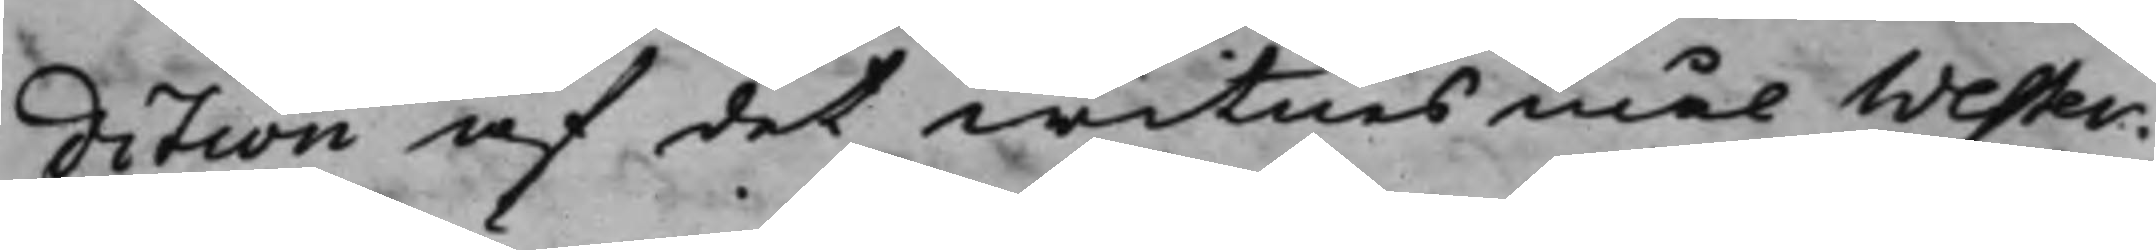dition af det witnesmål Wester¬
